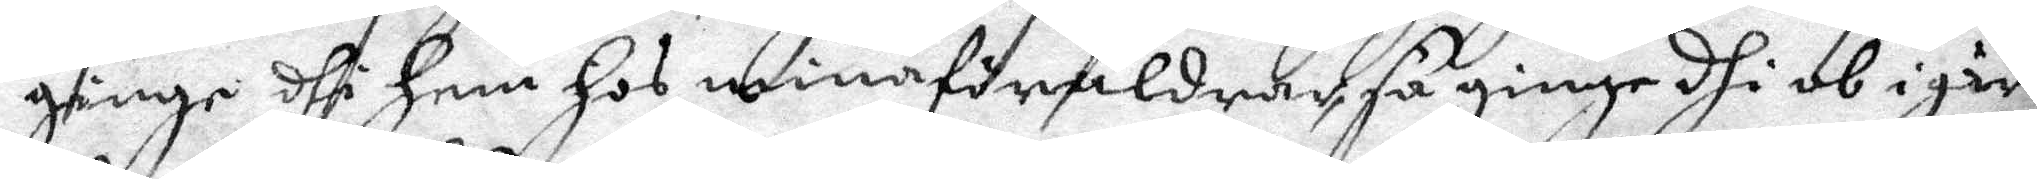ginge dhi hem hos mina föräldrar, så gingo dhi och igår
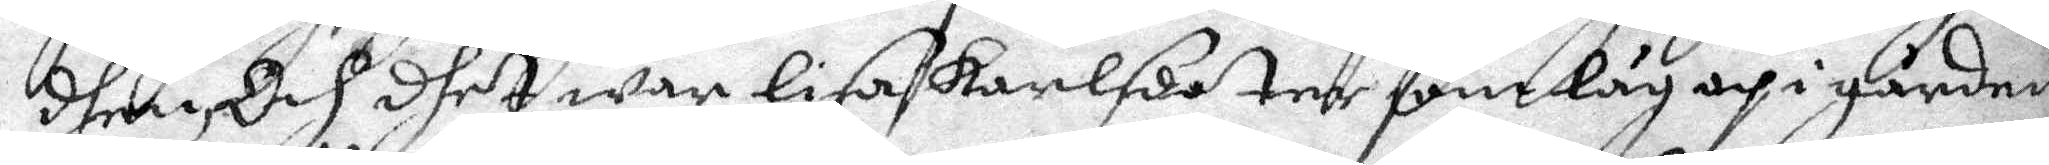dhen, Och dhet war lisa karlsdoter som låg och i gården
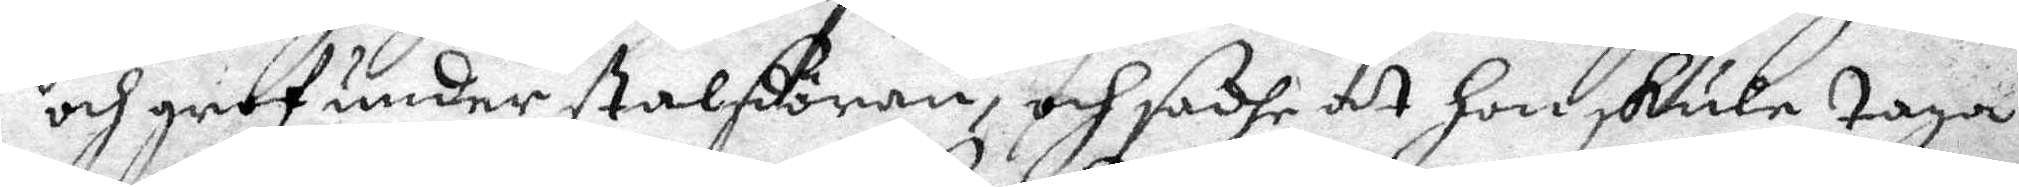och gref under staldöran.och sadhe at hon skule taga
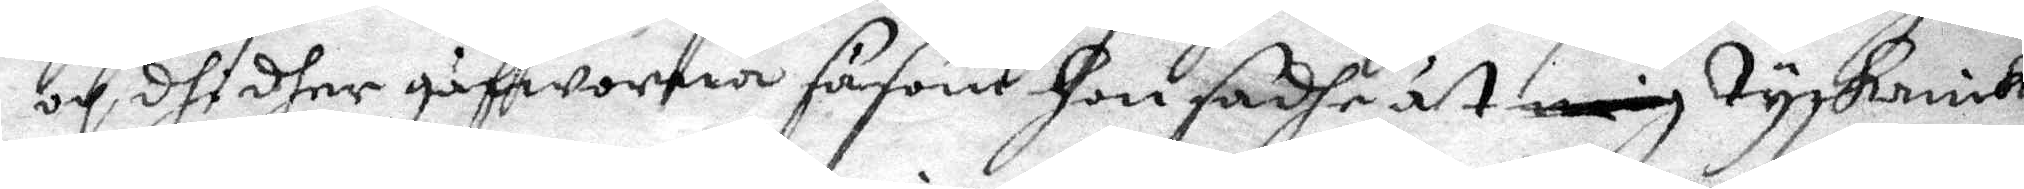op dhi dher gpfworna såsom hon sadhe at mig tyskanika
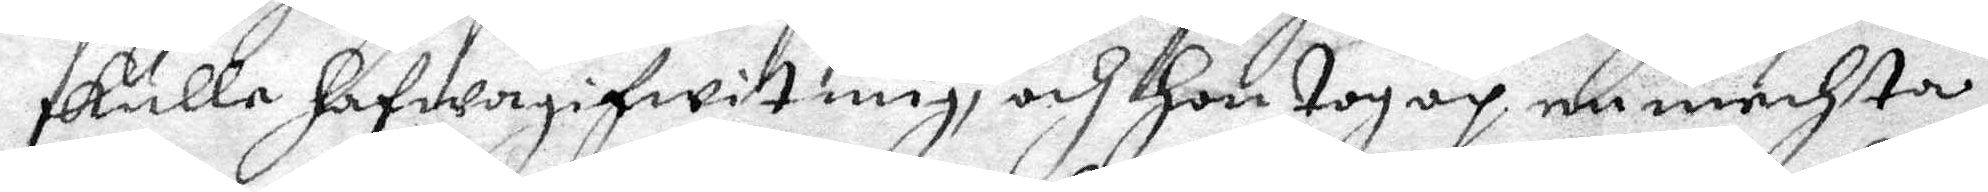skulle hafwa gifwit mig, och hon tog op en mechta
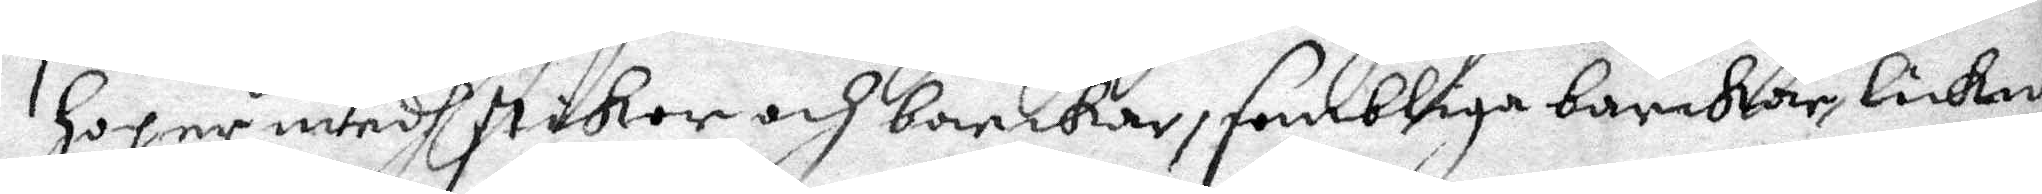hoper medh stikor och barkar, sombliga barkar likna¬
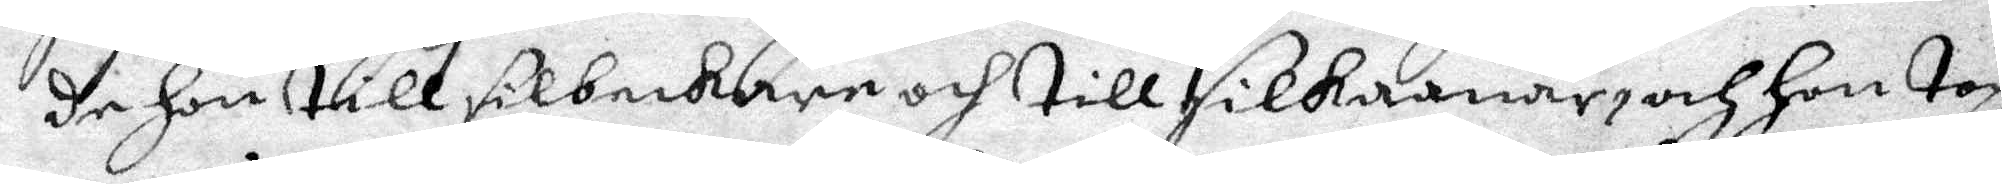de hon till silbeckare och till silkaanar, och hon tog
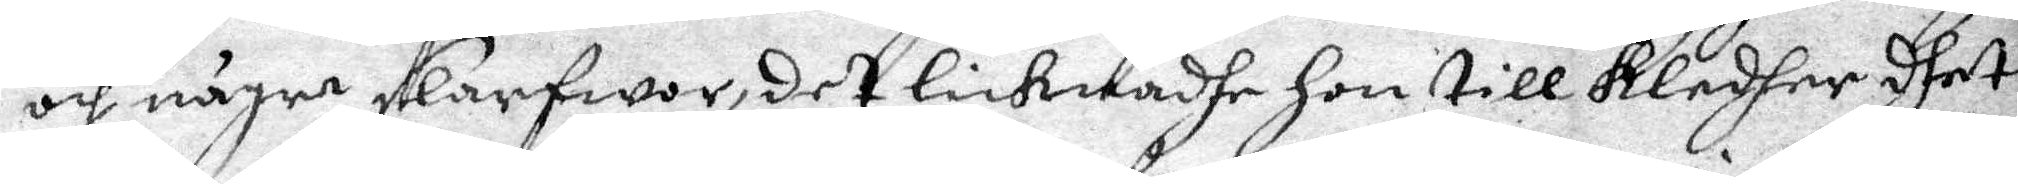och några slarfeor, det liknadhe hon till kledher dhet
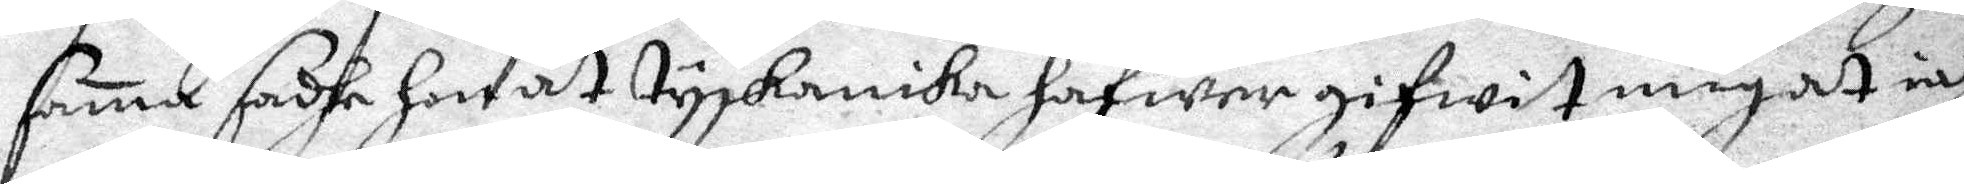sama sadhe hon at tyskanika hafwer gifwit mig at iag
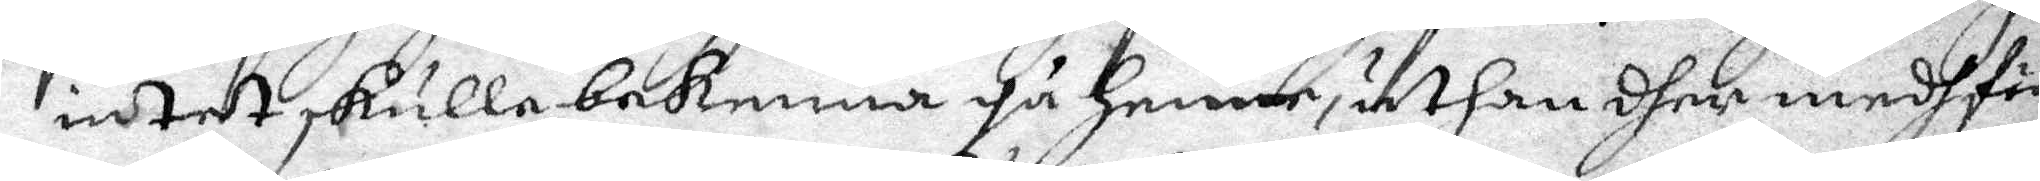intet skulle bekenna på henne, uthan dher medh för¬
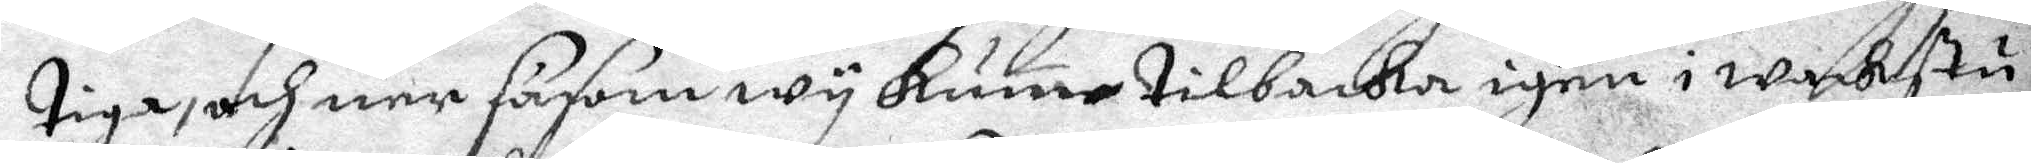tiga, och ner såsom wy kuna tilbaka igen i wakstu¬
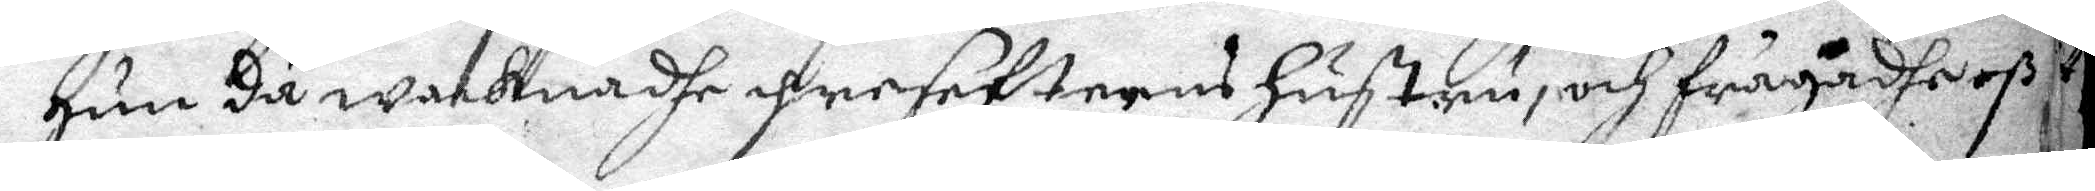gun då waknadhe presefterns hustru, och frågadhe oß
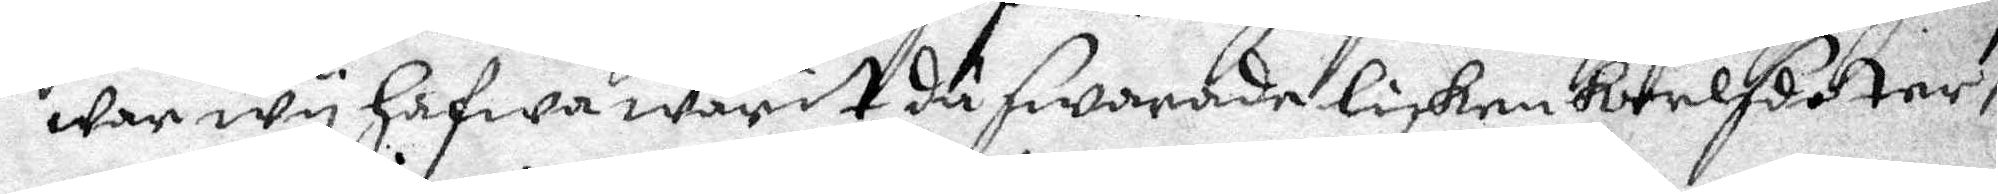war wy hafwa warit då swaradhe lisken karlsdoter,
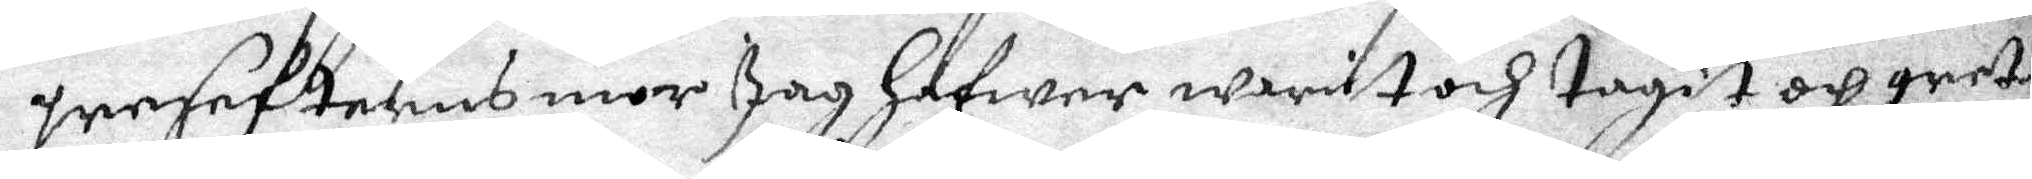prefehtiensmor jag hafwer warit och tagit op greta
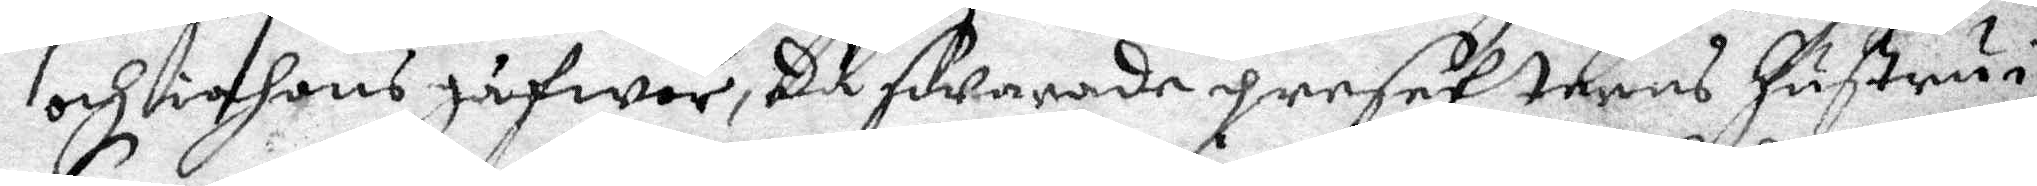och iohans gåfwor, och swarade prefehtens hustru i
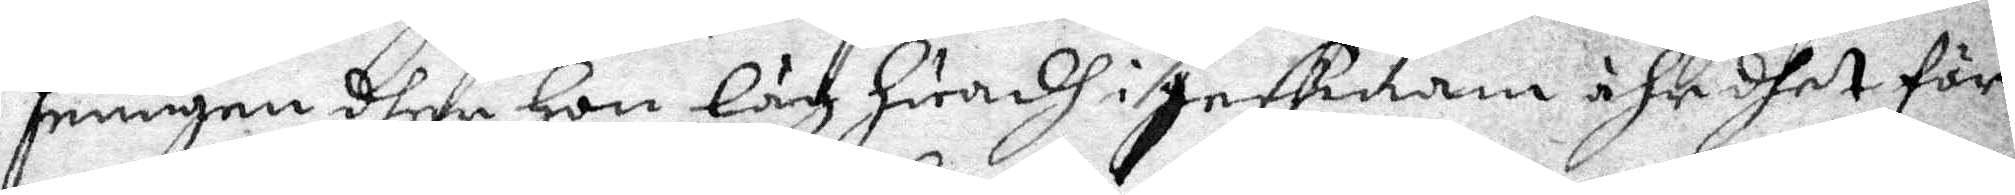sengen dher hon låg hwadh i jesu nam ähr dhet för
